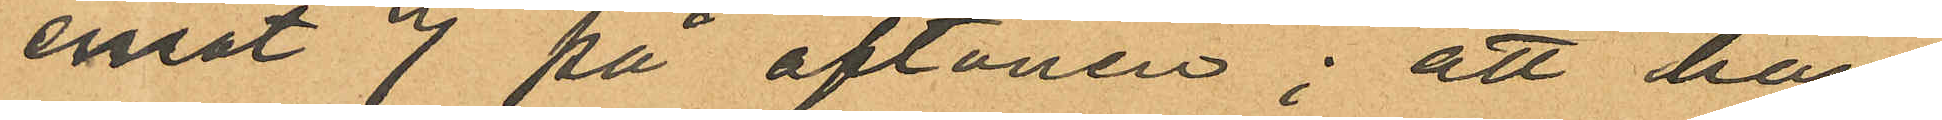emot 7 på aftonen; att han
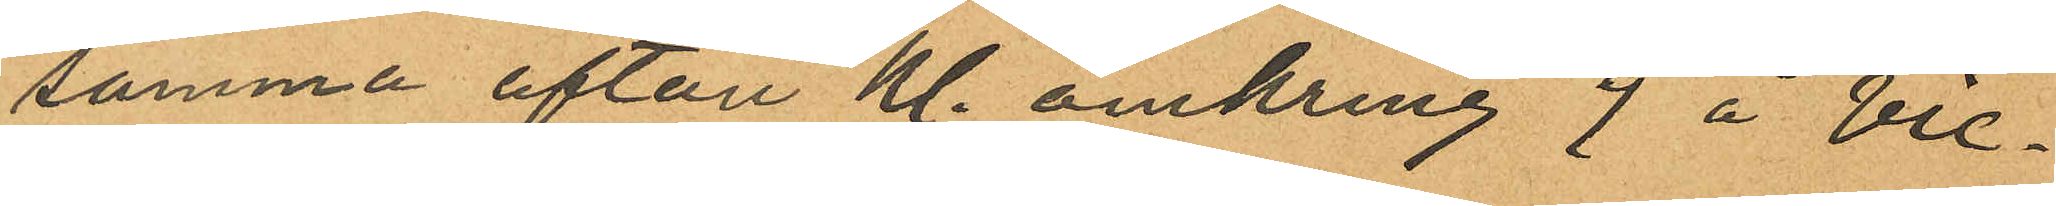samma afton kl. omkring 9 å Vic¬
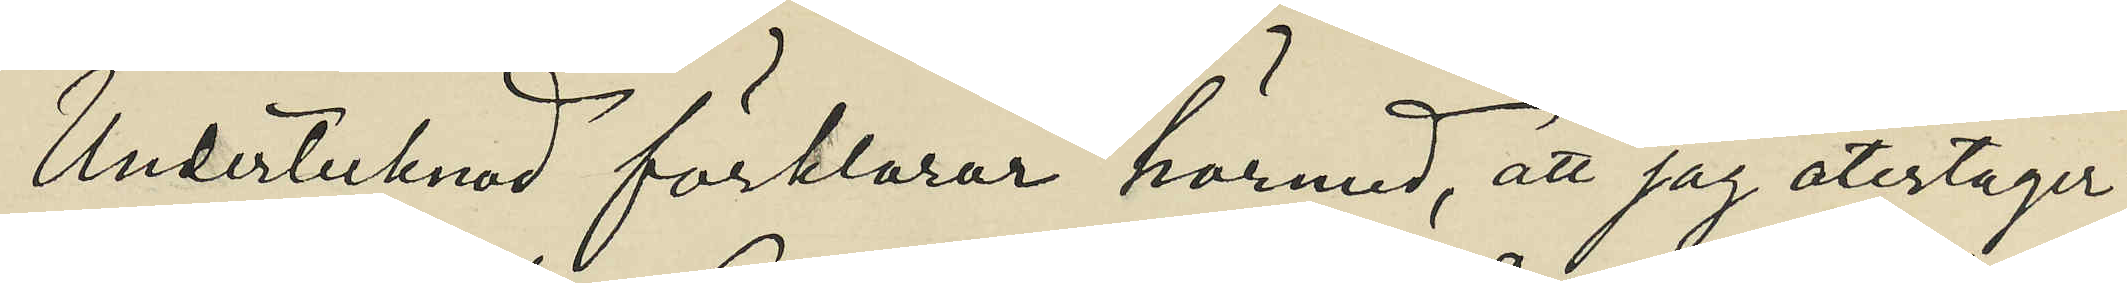Undertecknad förklarar härmed, att jag återtager
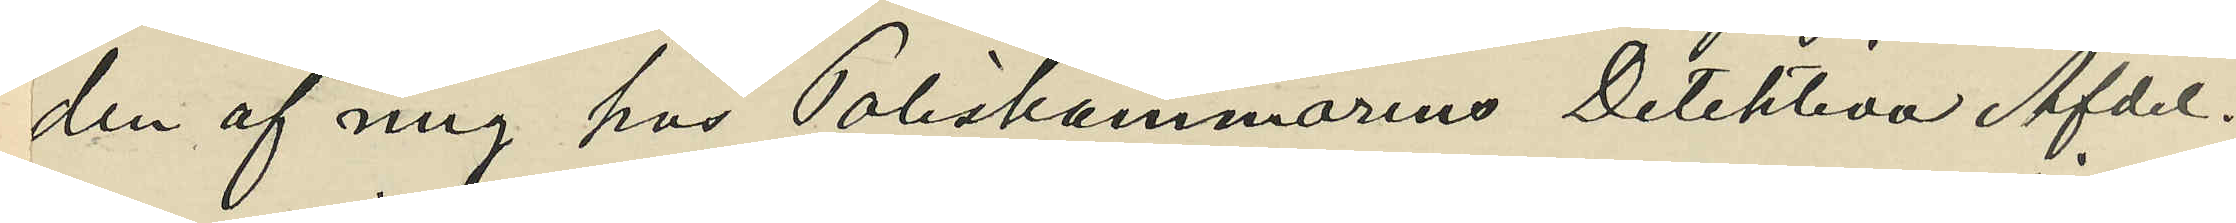den af mig hos Poliskammarens Detektiva Afdel¬
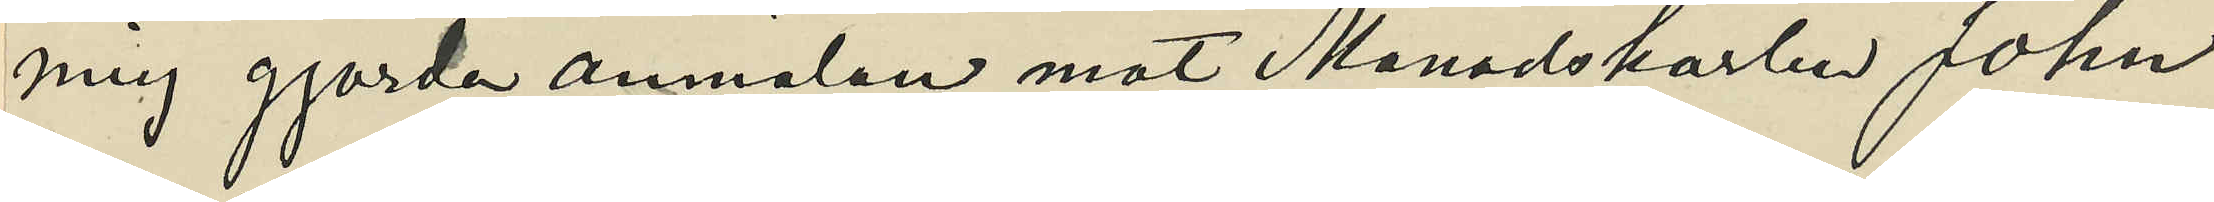ning gjorda anmälan mot Månadskarlen John
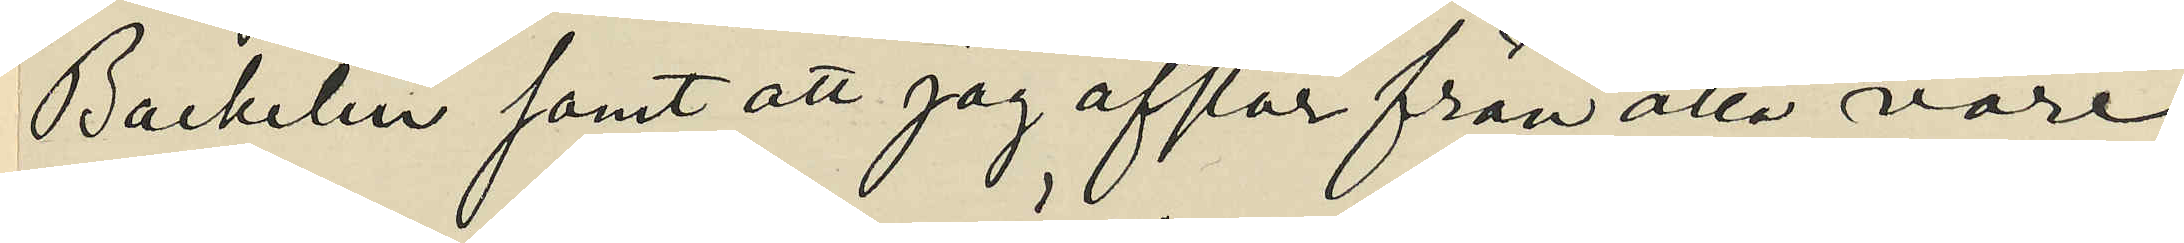Backelin samt att jag afstår från alla vare
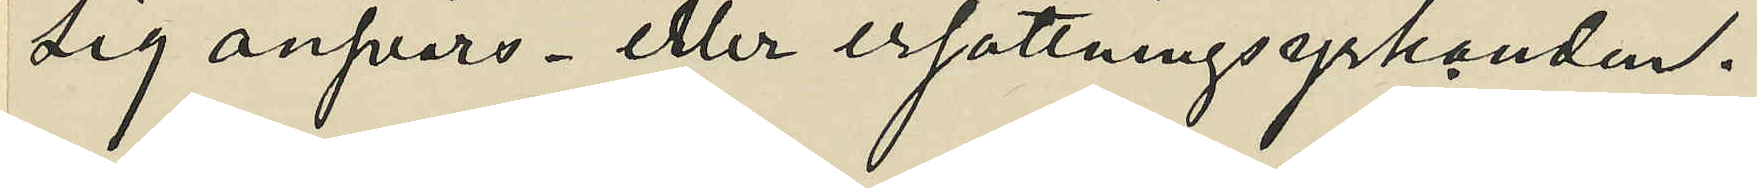sig anfvars- eller ersättningsyrkanden.
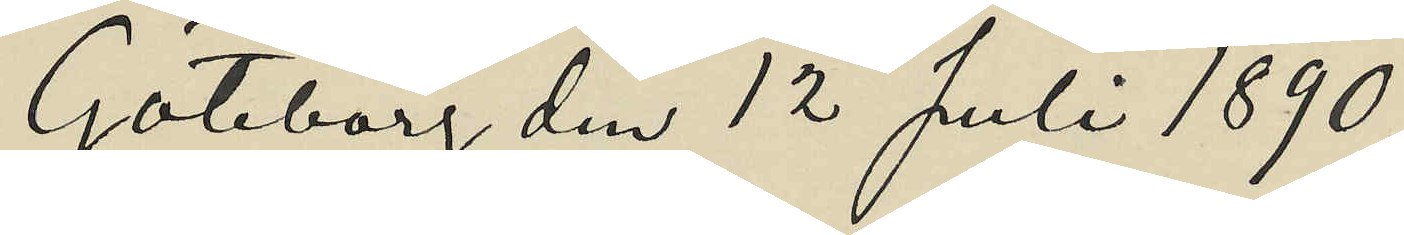Göteborg den 12 Juli 1890.
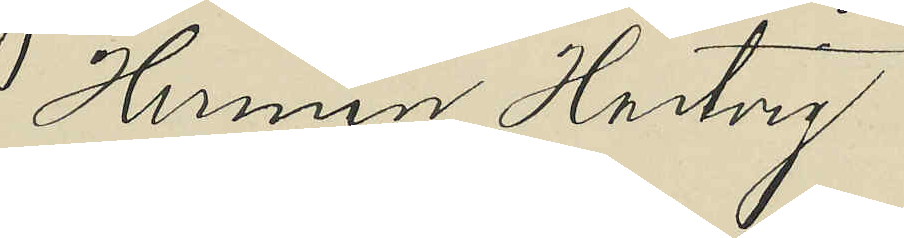Herman Hartvig
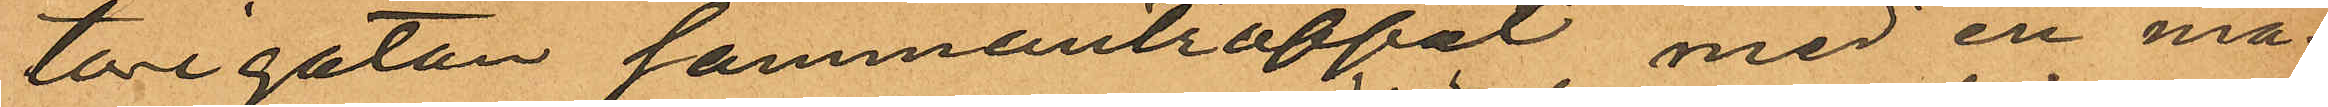torigatan sammanträffat med en må¬
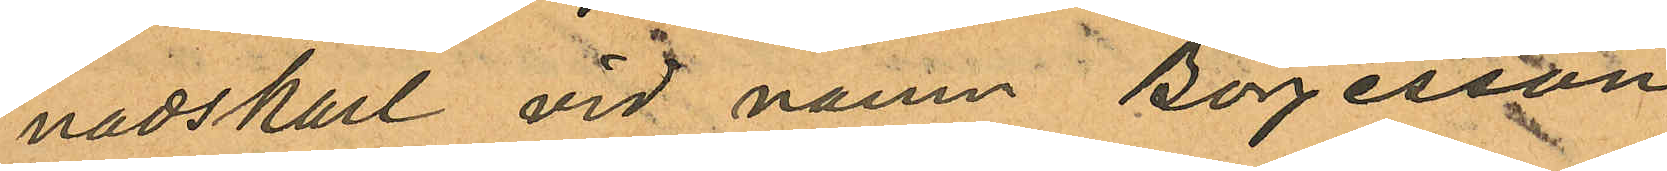nadskarl vid namn Börjesson
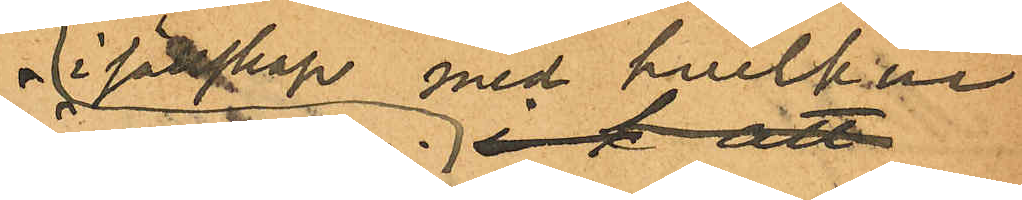i sälskap med hvilken
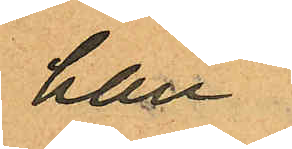han
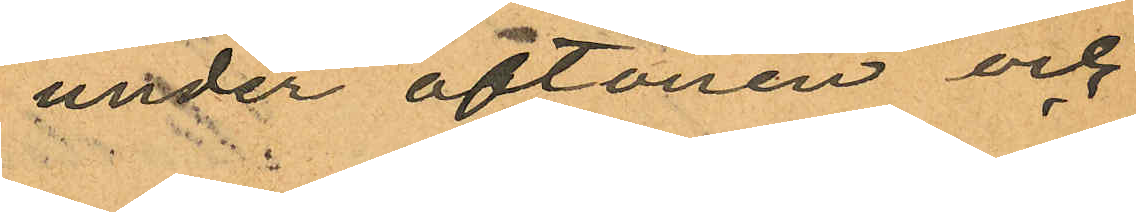under aftonen och
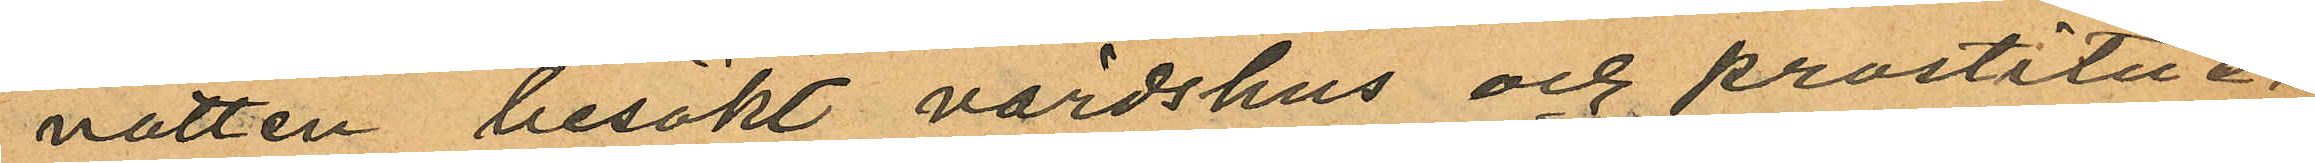natten besökt värdshus och prostitue¬
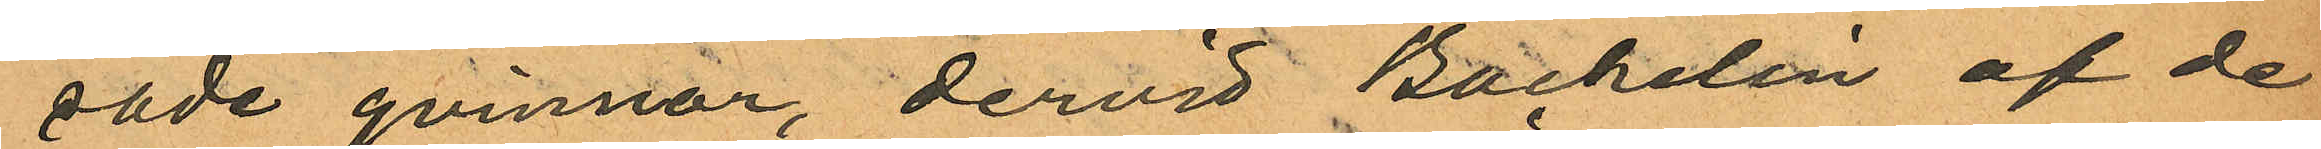rade qvinnor, dervid Backelin af de
